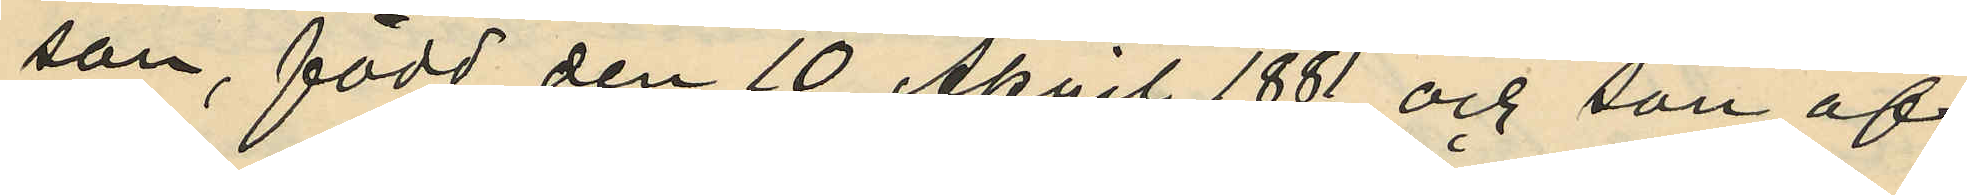son, född den 10 April 1881 och son af
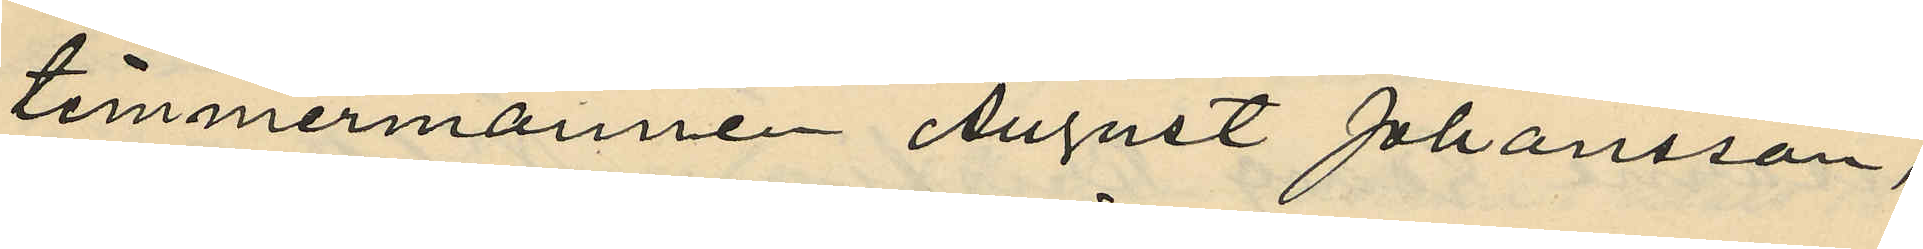timmermannen August Johansson,
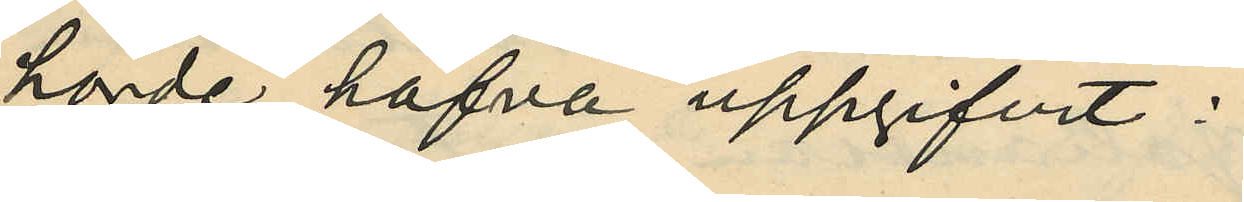hörde, hafva uppgifvit:
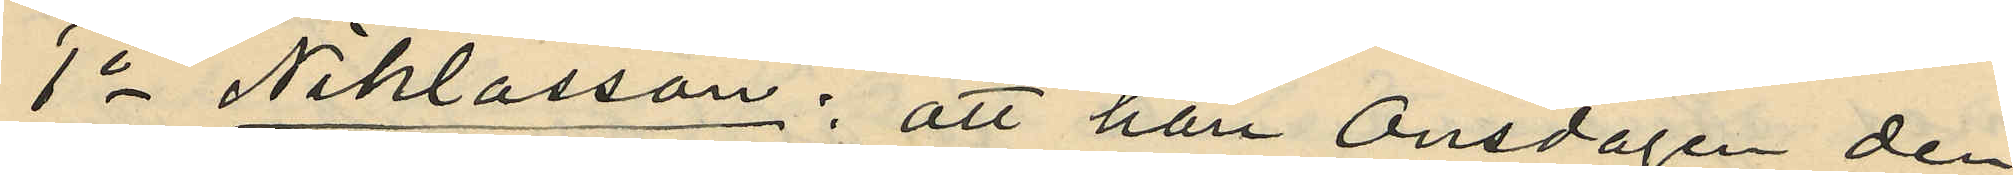1o Niklasson; att han Onsdagen den
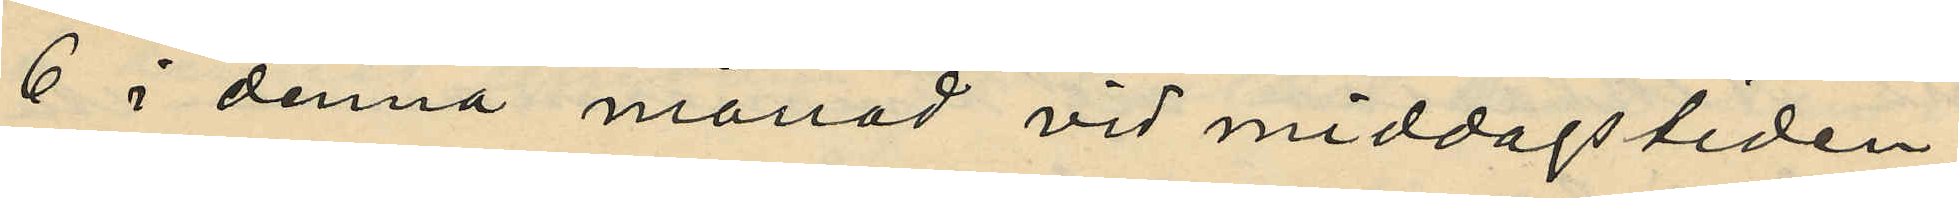6 i denna månad vid middagstiden
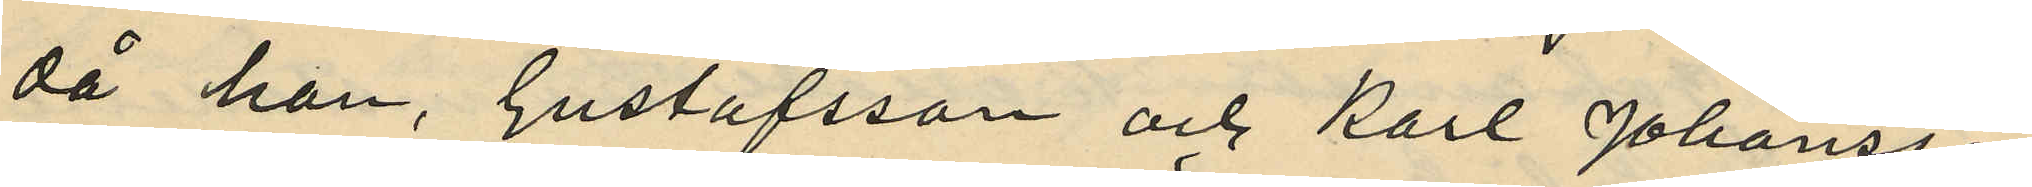då han, Gustafsson och Karl Johansson
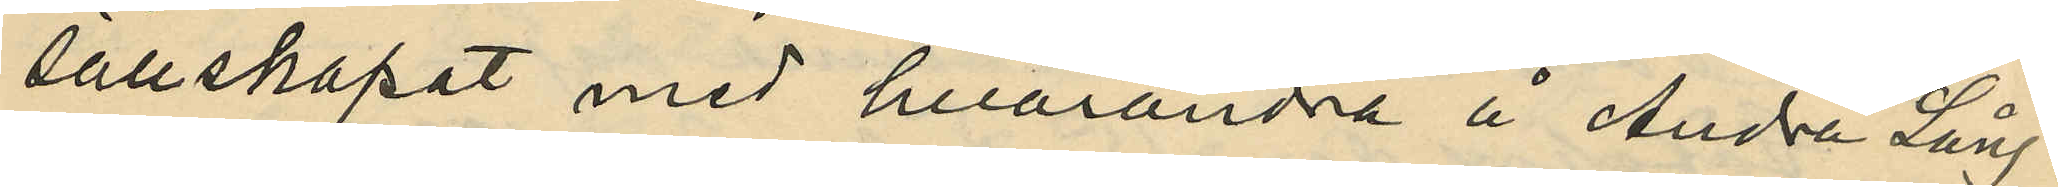sällskapat med hvarandra å Andra Lång¬
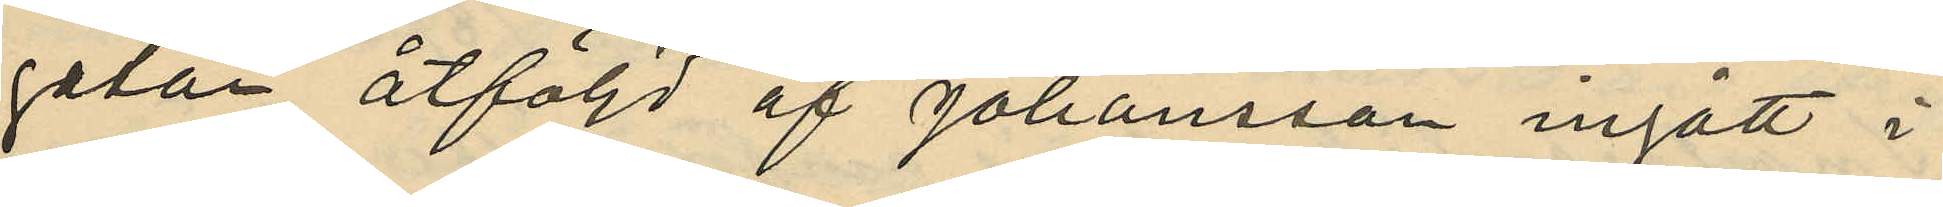gatan, åtföljd af Johansson ingått i
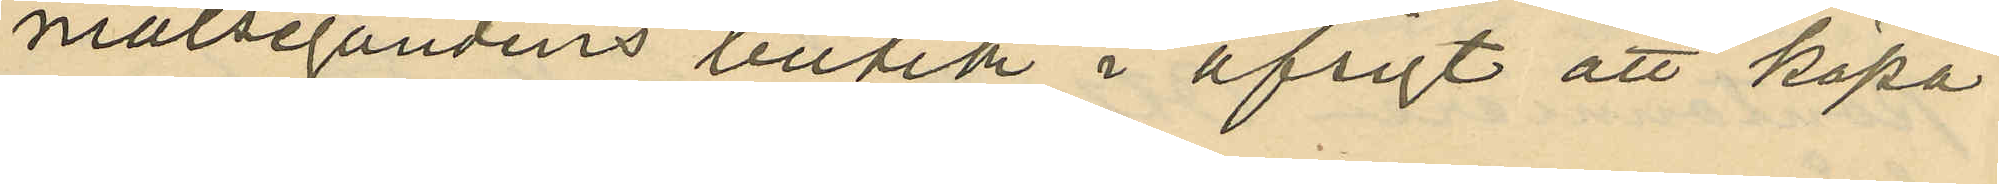målsegandens butik i afsigt att köpa
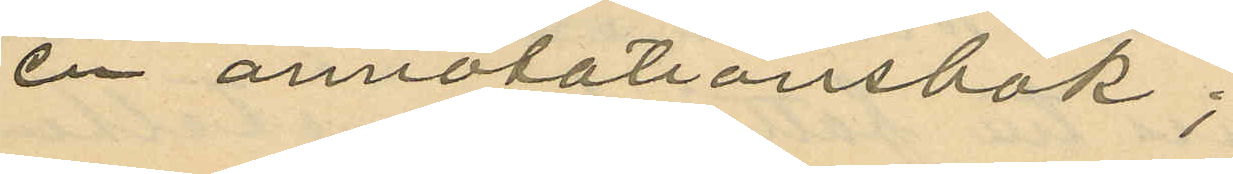en annotationsbok;
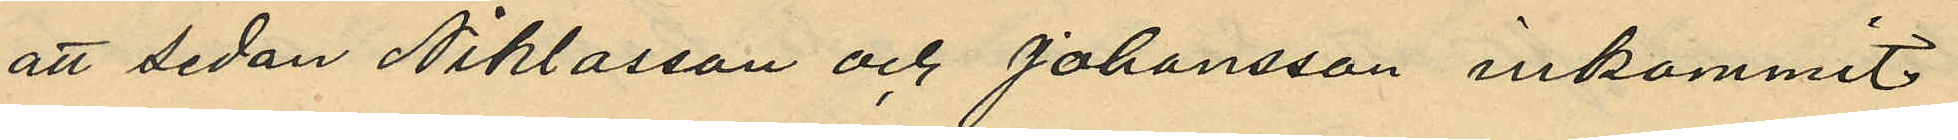att sedan Niklasson och Johansson inkommit
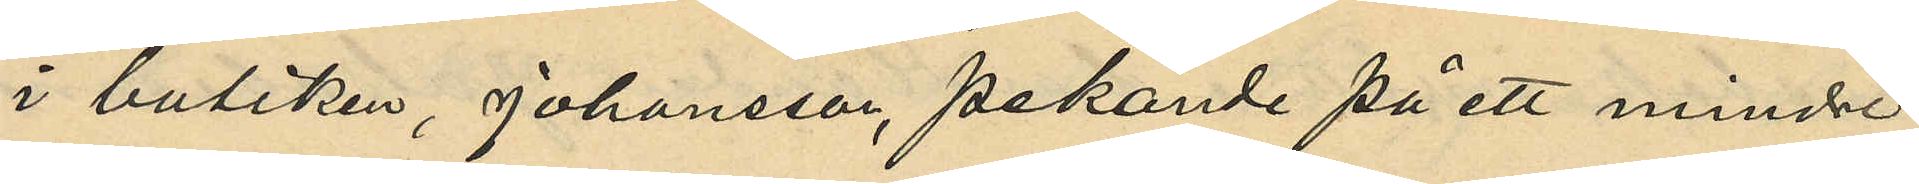i butiken, Johansson, pekande på ett mindre
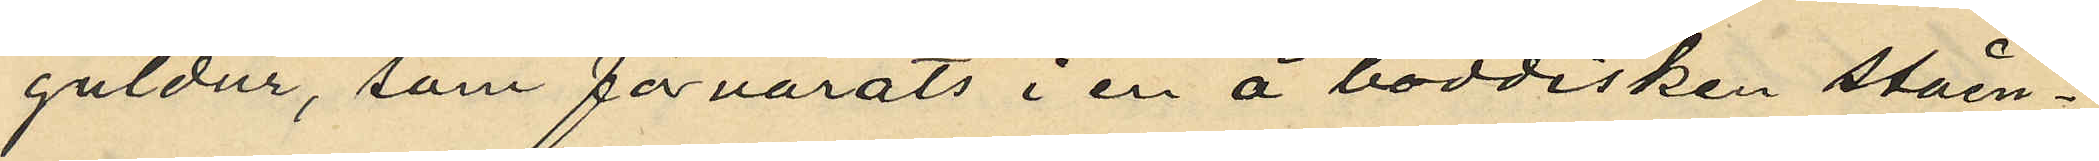guldur, som förvarats i en å boddisken ståen¬
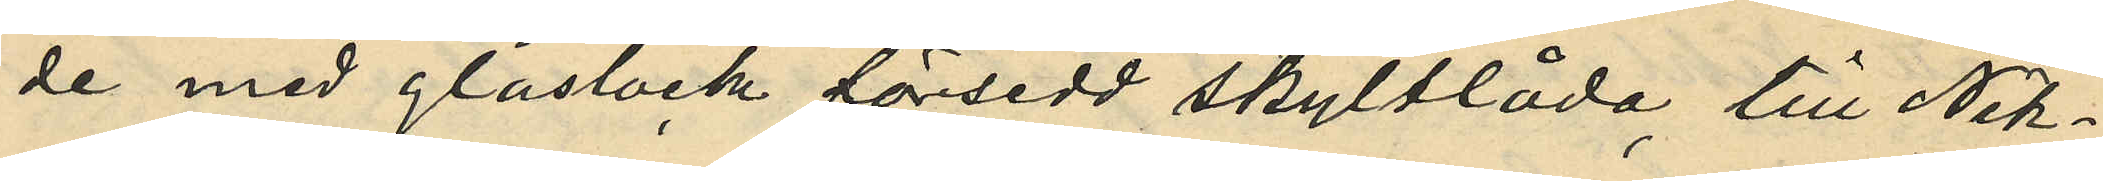de med glaslock försedd skyltlåda, till Nik¬
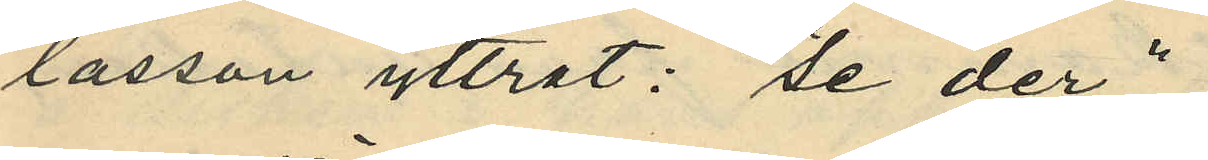lasson yttrat: "Se der";
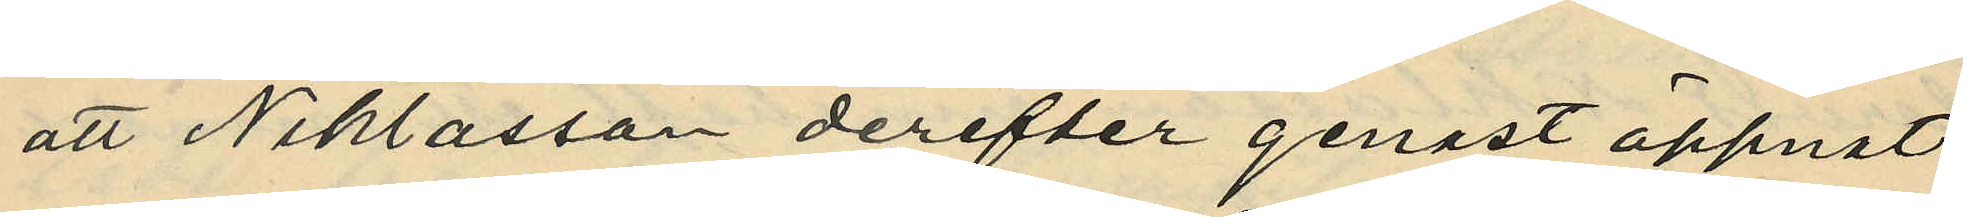att Niklasson derefter genast öppnat
